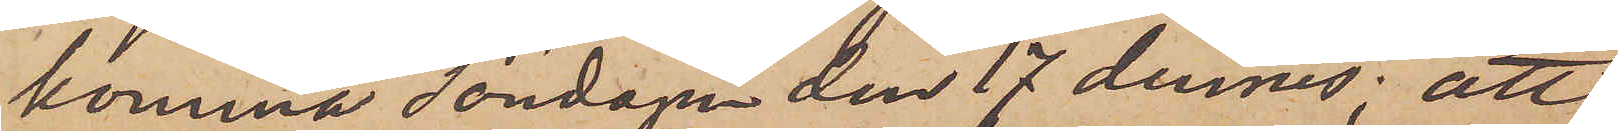komma söndagen den 17 dennes; att
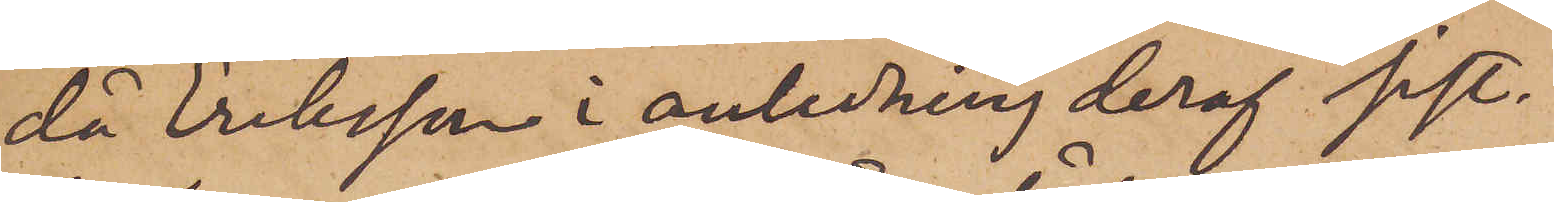då Eriksson i anledning deraf sist¬
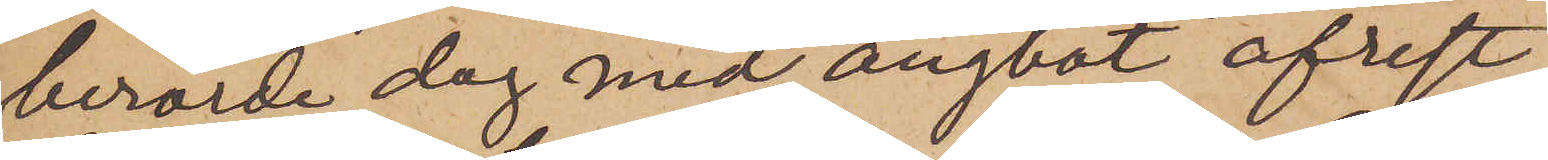berörde dag med ångbåt afrest
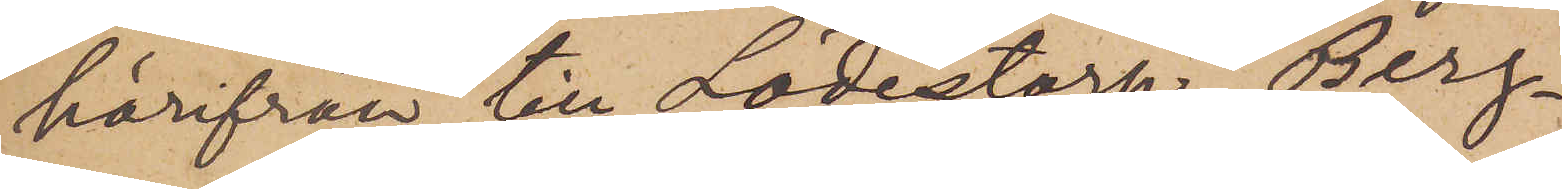härifrån till Lödestorp, Berg¬
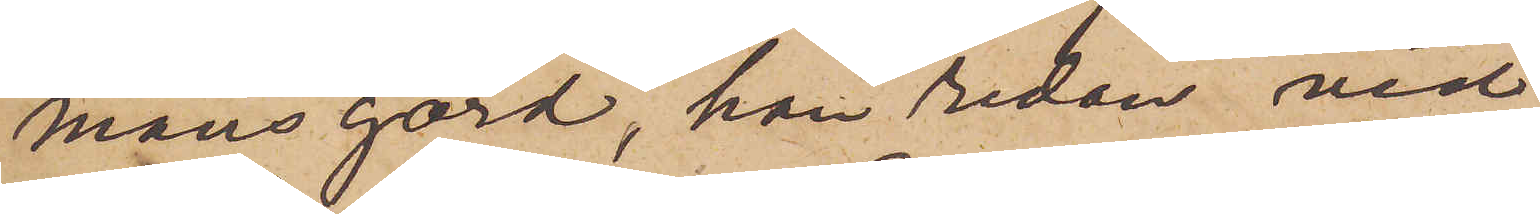mans gård, han redan vid
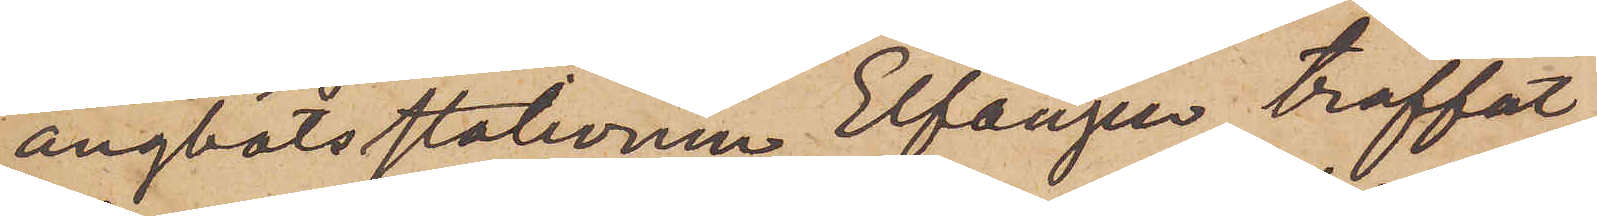ångbåtsstationen Elfängen träffat
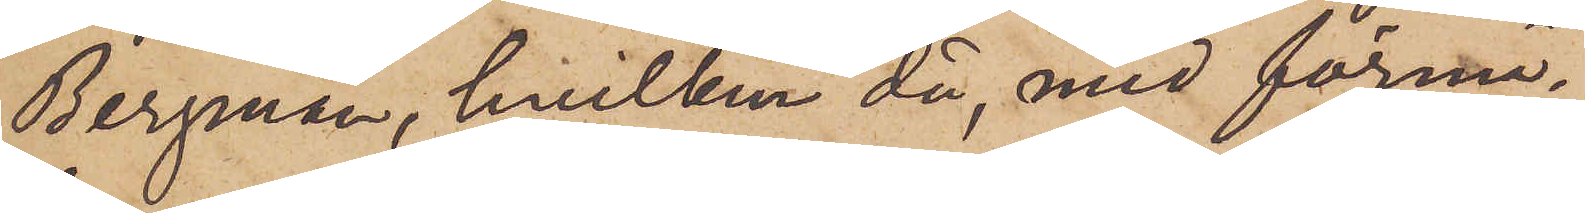Bergman, hvilken då, med förmä¬
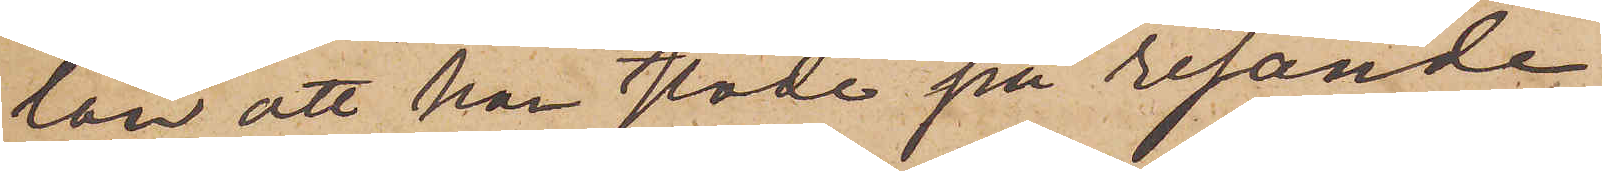lan att han stode på resande
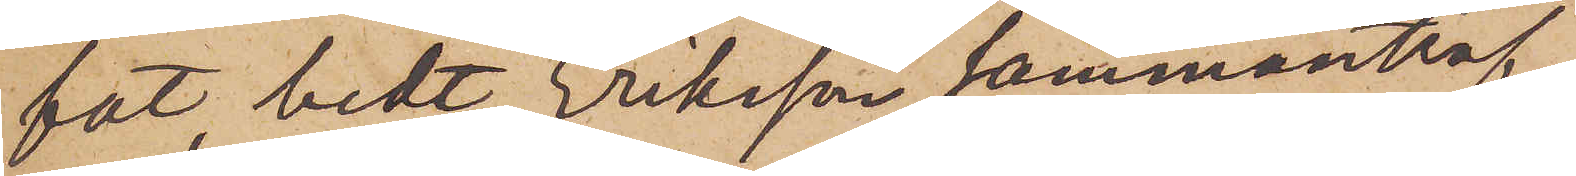fot, bedt Eriksson sammanträf¬
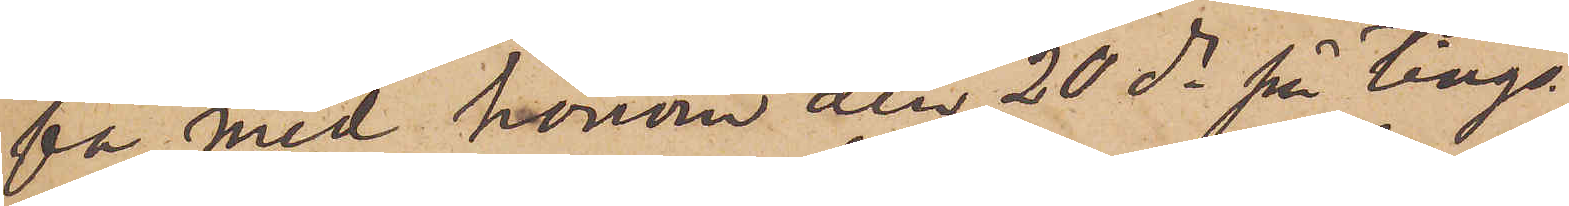fa med honom den 20 ds på tings¬
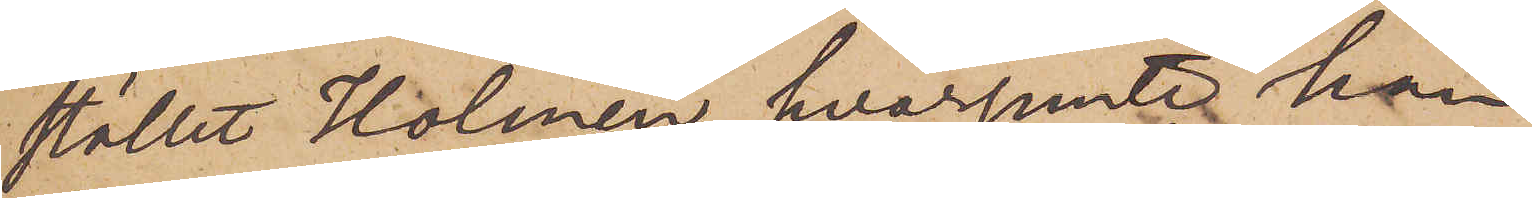stället Holmen, hvarjemte han
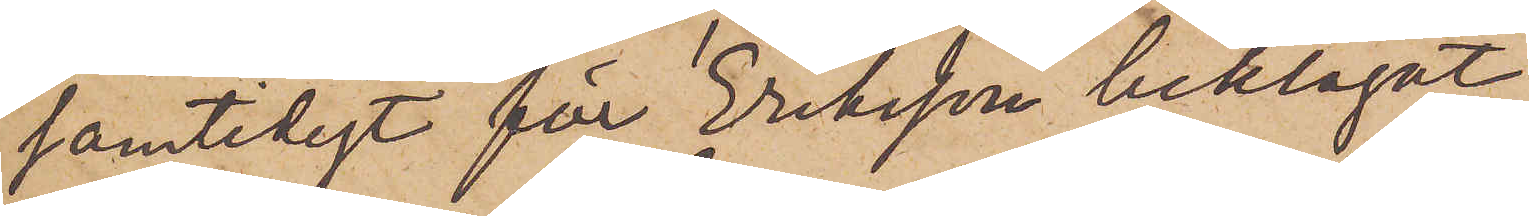samtidigt för Eriksson beklagat
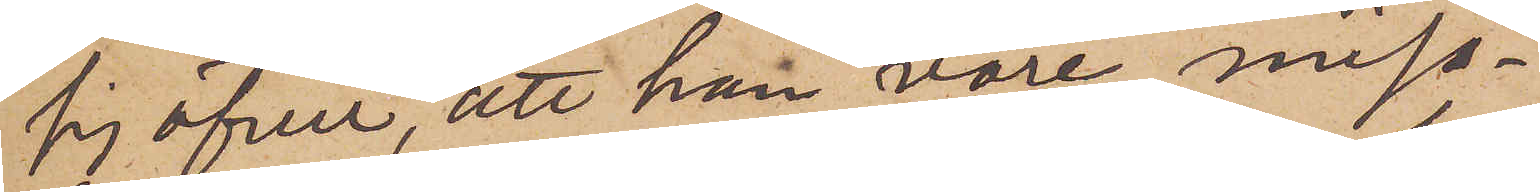sig över, att han vore miss¬
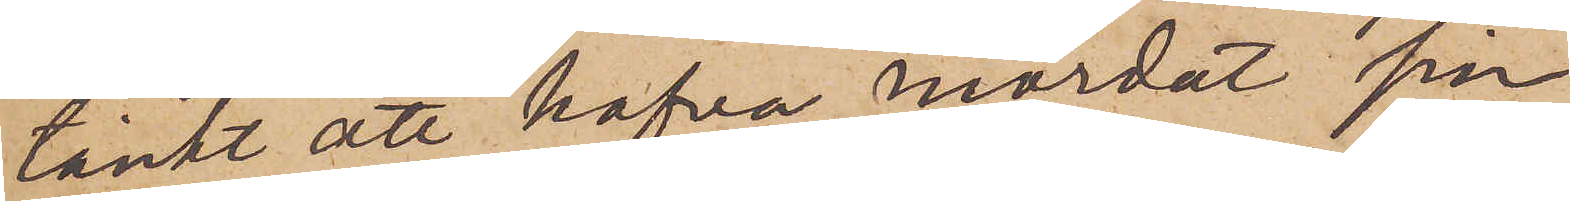tänkt att hafva mördat sin
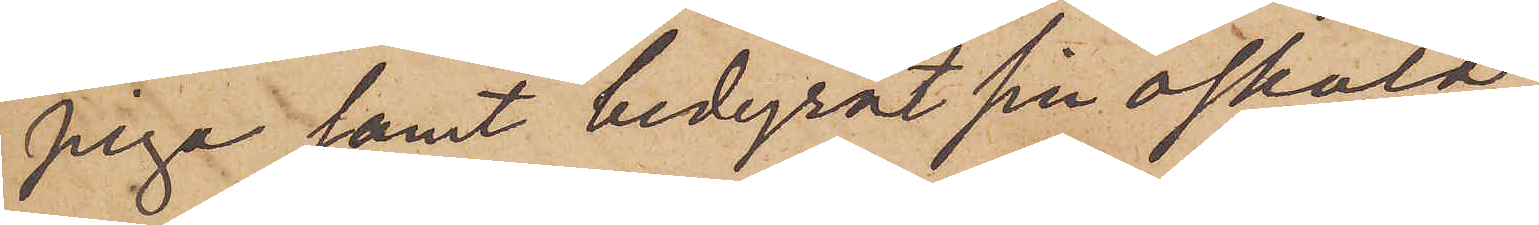piga samt bedyrat sin oskuld
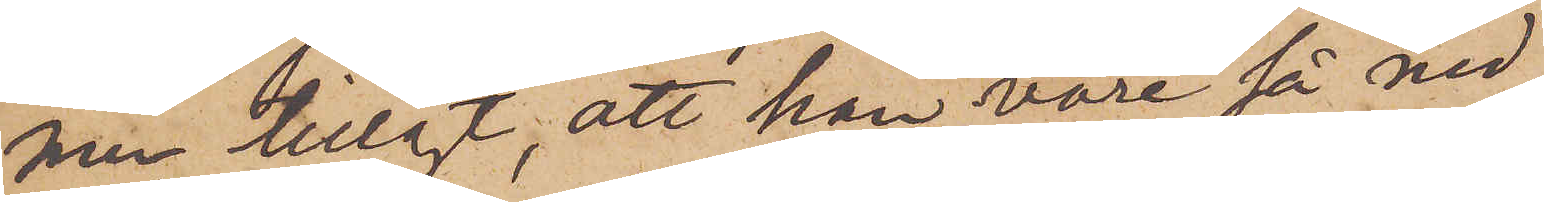men tillagt, att han vore så ned¬
